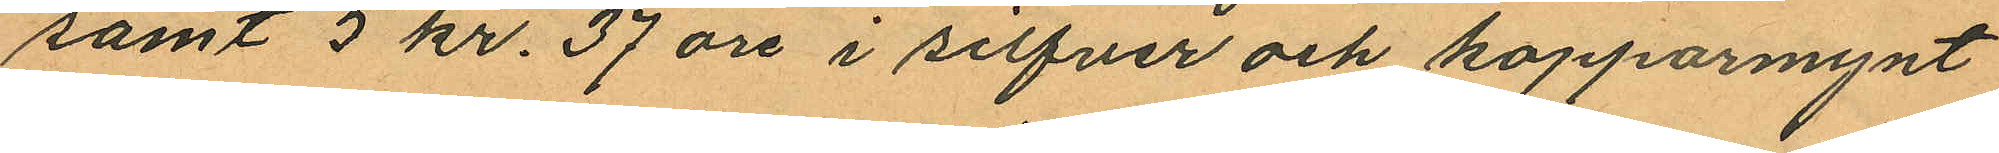samt 5 kr. 37 öre i silfver och kopparmynt
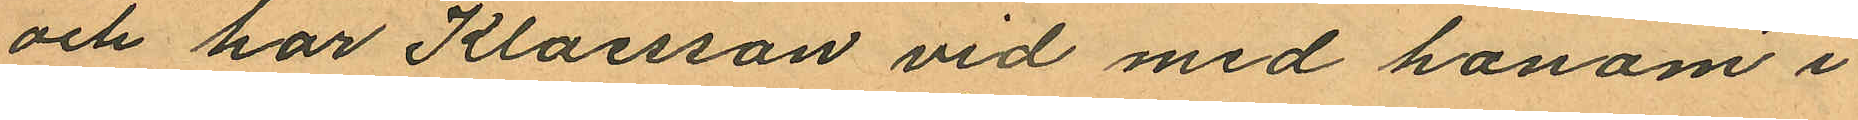och har Klaesson vid med honom i
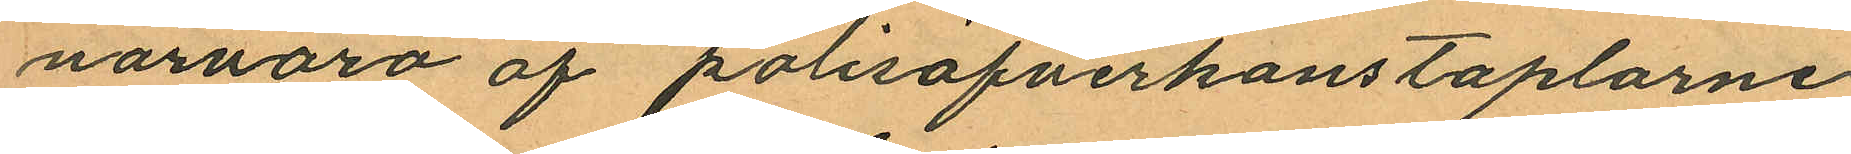nornaro af polisöfverkonstaplarne
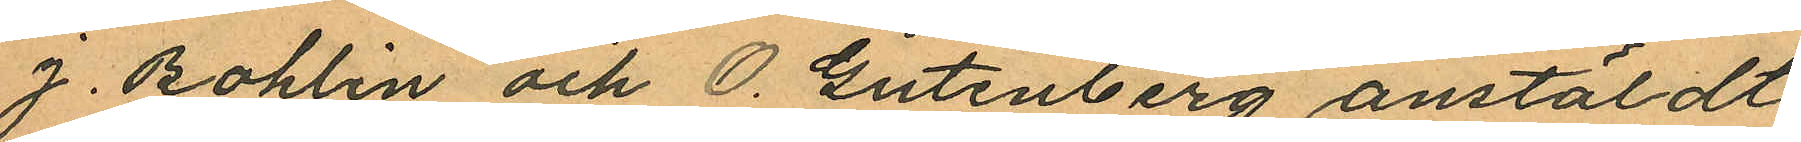J. Bohlin och O. Gutenberg anstäldt
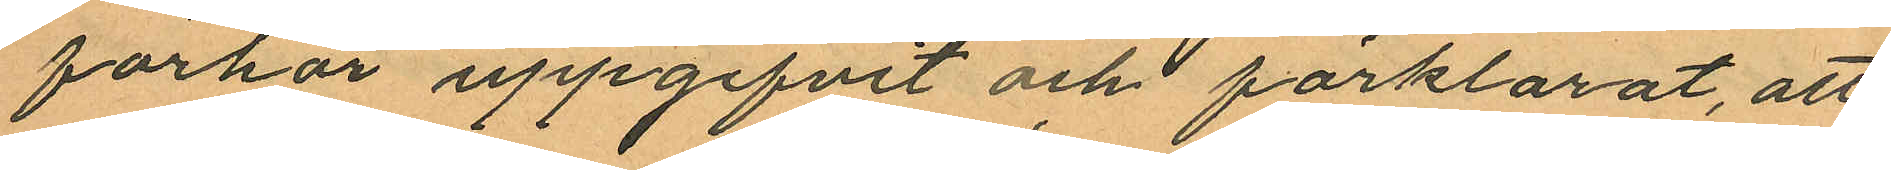förhör uppgifvit och förklarat, att
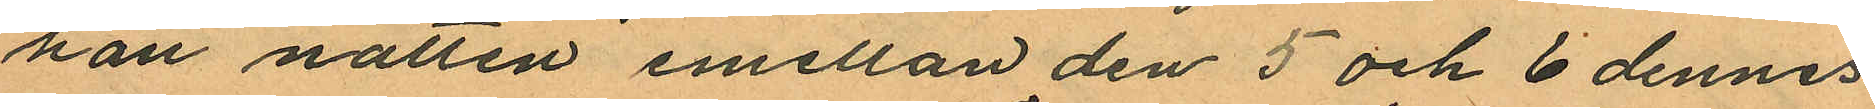han natten emellan den 5 och 6 dennes
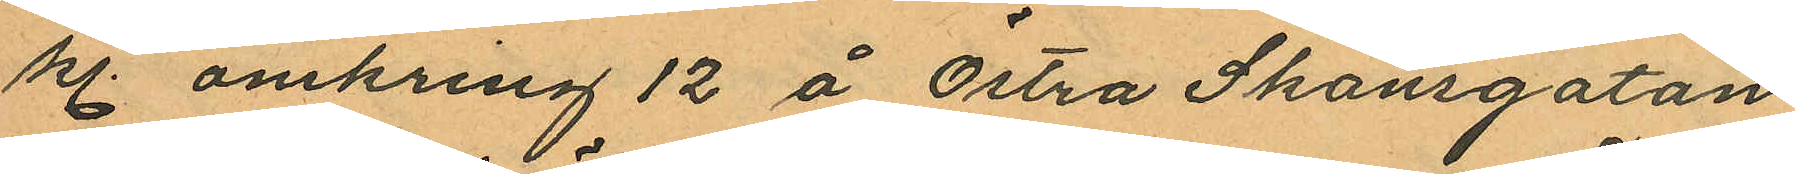kl. omkring 12 å Östra Skansgatan
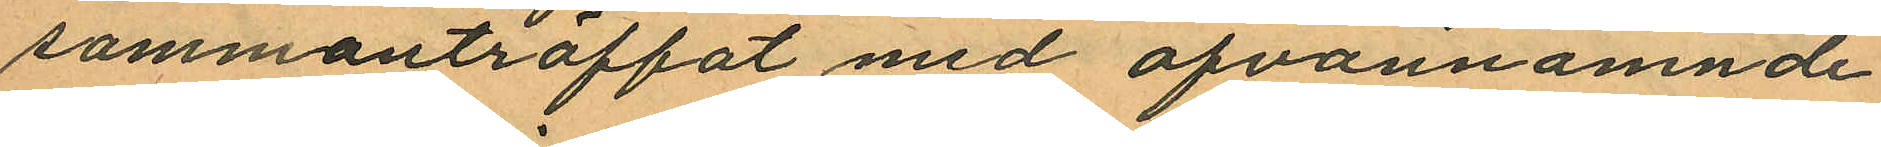sammanträffat med ofvannämnde
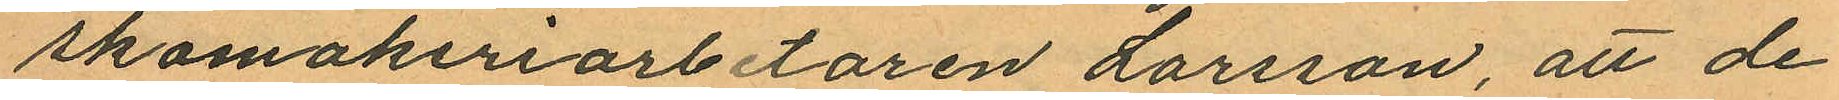skomakeriarbetaren Larsson, att de
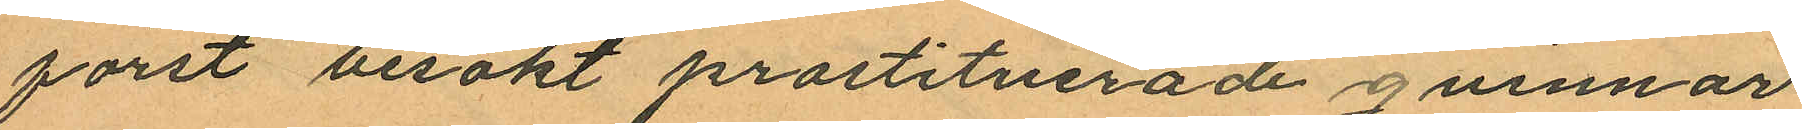först besökt prostituerade qvinnor
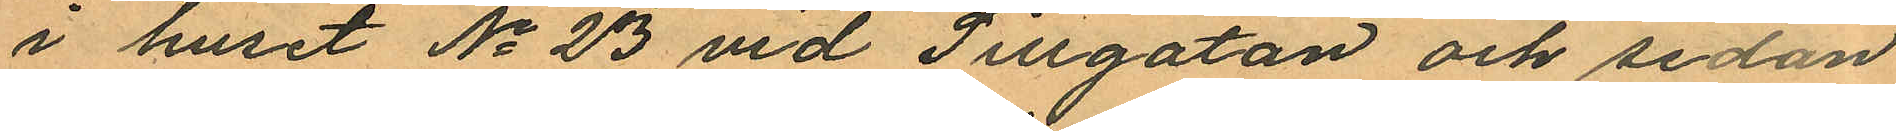i huset No 23 vid Sillgatan och sedan
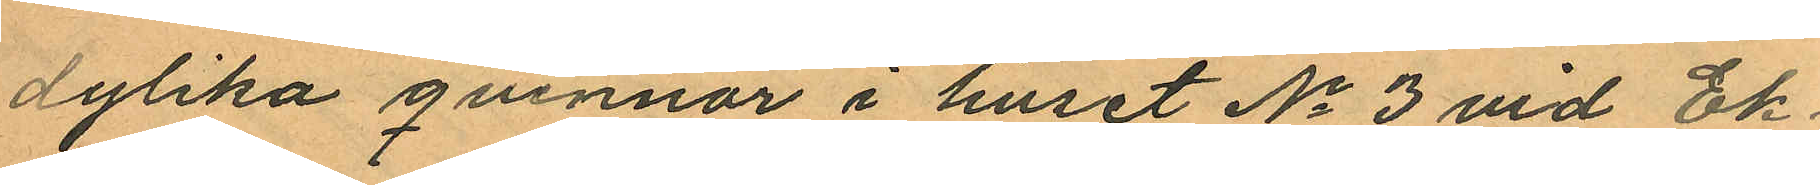dylika qvinnor i huset No 3 vid Ek
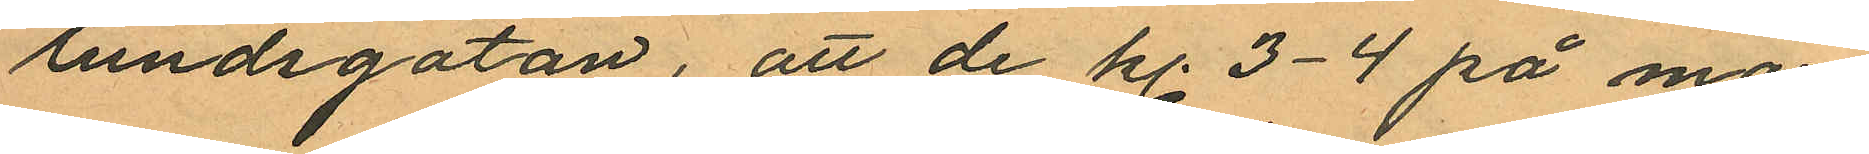lundsgatan, att de kl. 3-4 på mor¬
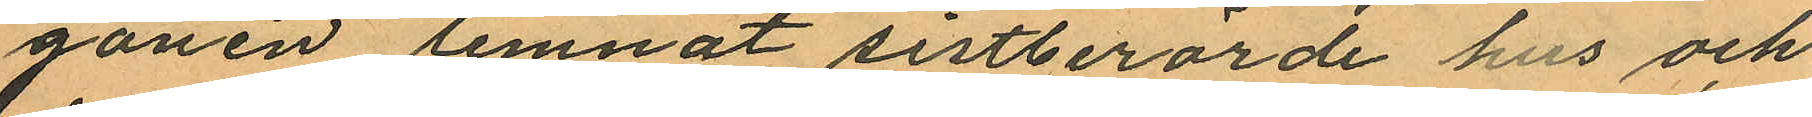gonen lemnat sistberörde hus och
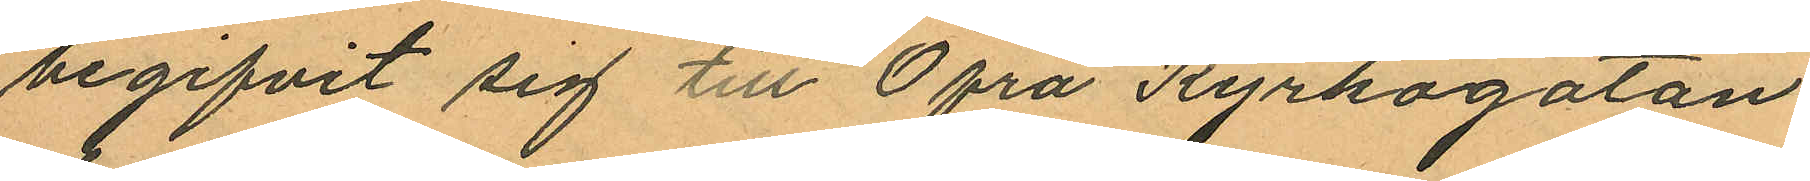begifvit sig till Öfra Kyrkogatan
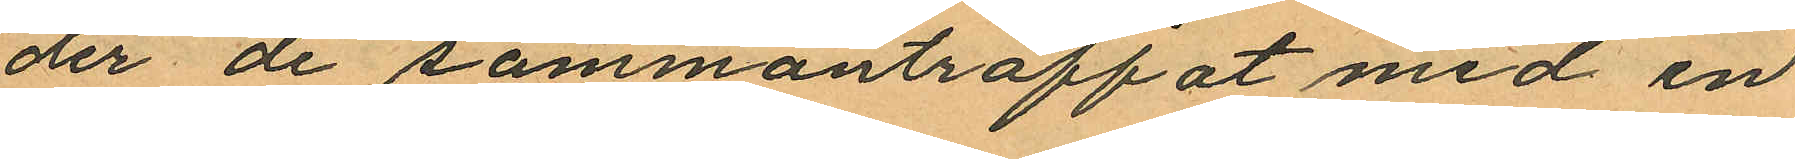der de sammanträffat med en
